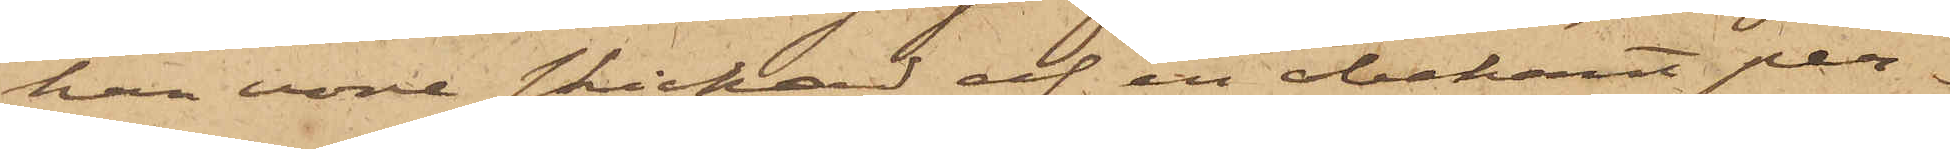han vore skickad af en obekant per¬
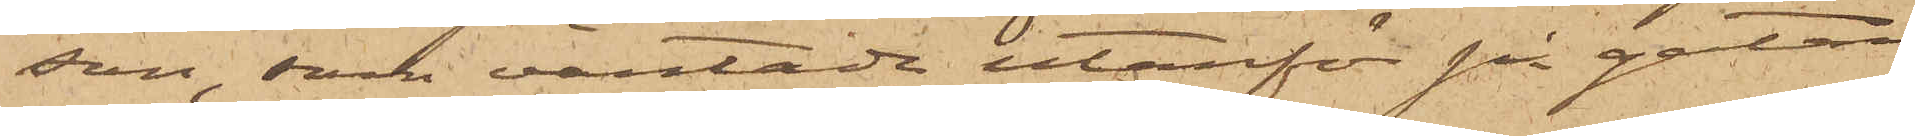son, som väntade utanför på gatan
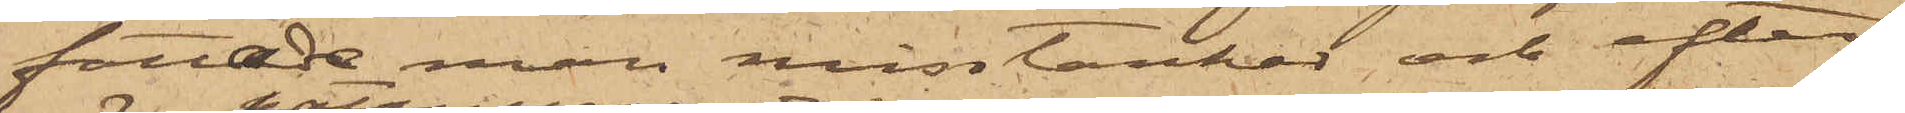fattade man misstankar och efter¬
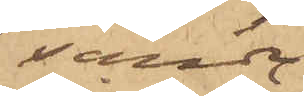sände
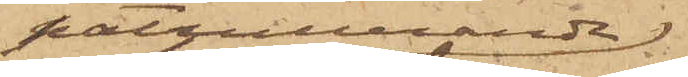patrullerande
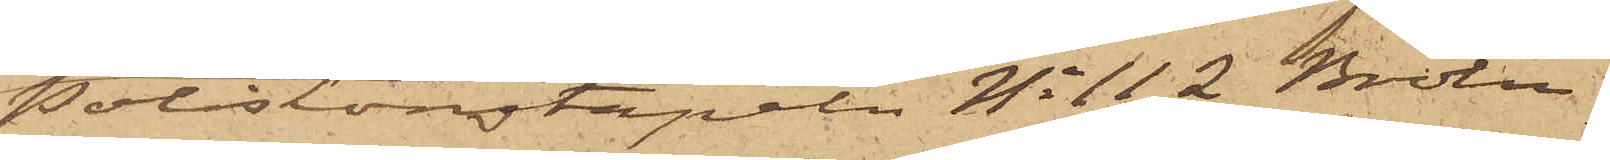Poliskonstapeln No 112 Brolin,
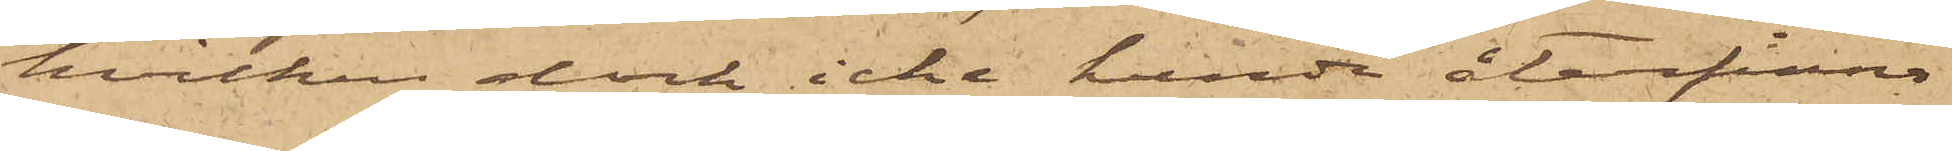hvilken dock icke kunde återfinna
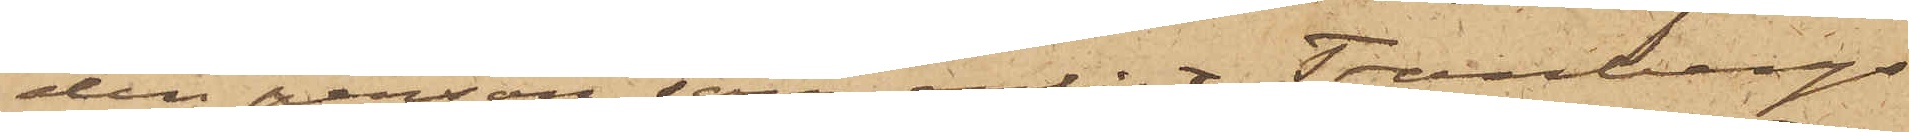den person, som enligt Tranbergs
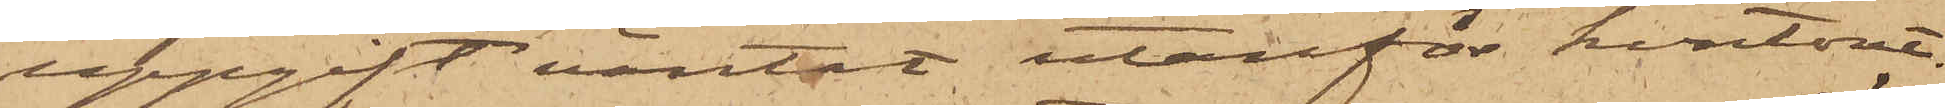uppgift väntat utanför kontoret.
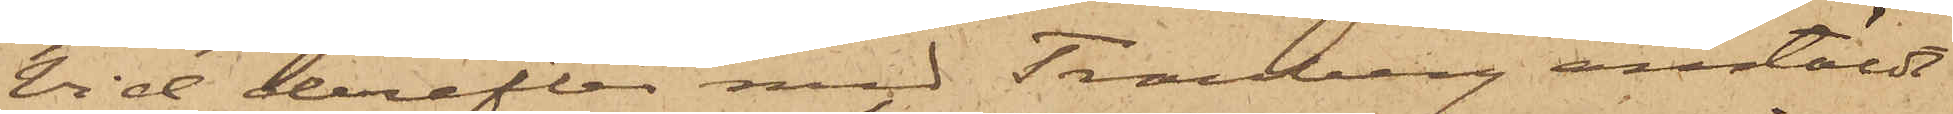Vid derefter med Tranberg anstäldt
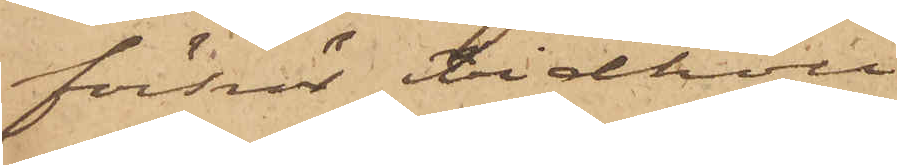förhör vidhöll
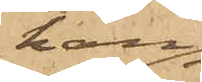han
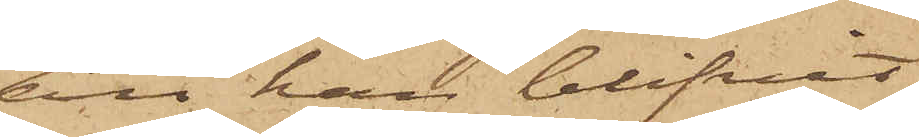att han blifvit
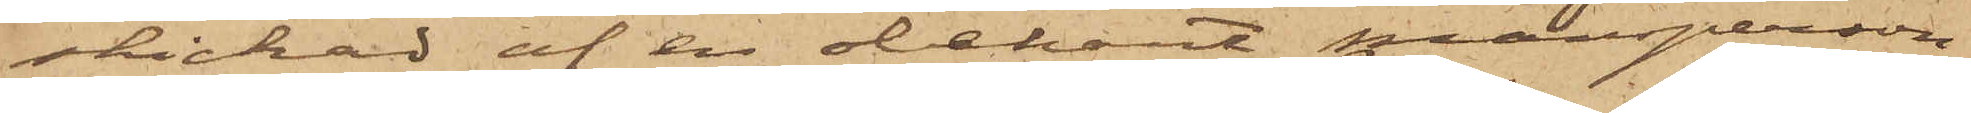skickad af en obekant mansperson
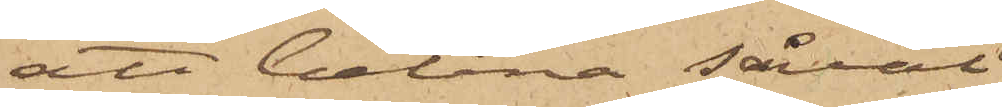att belåna såväl
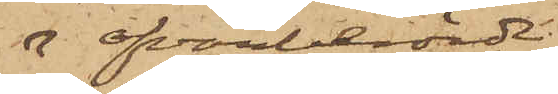ofvanberörde
